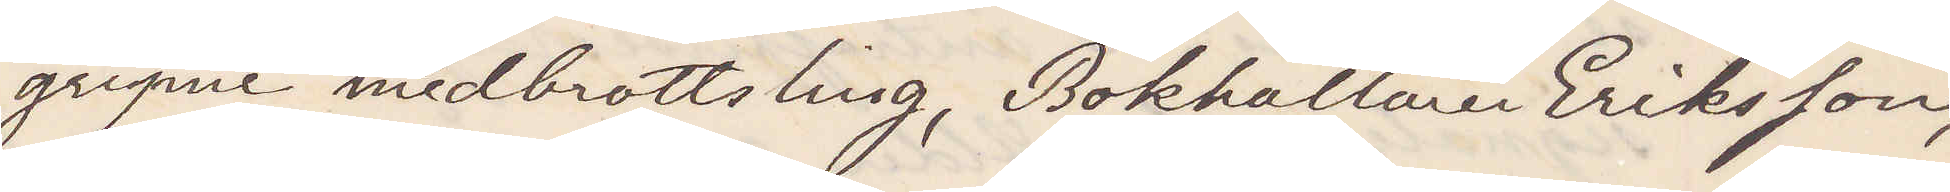gripne brottsling, Bokhållaren Eriksson,
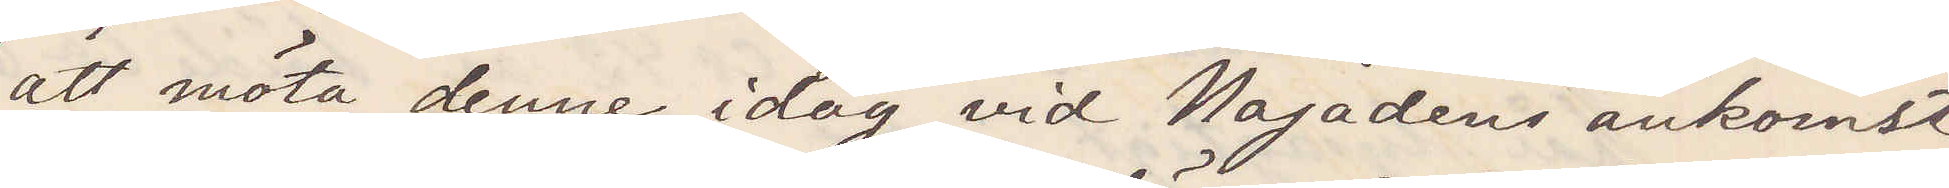att möta denne idag vid Najadens ankomst
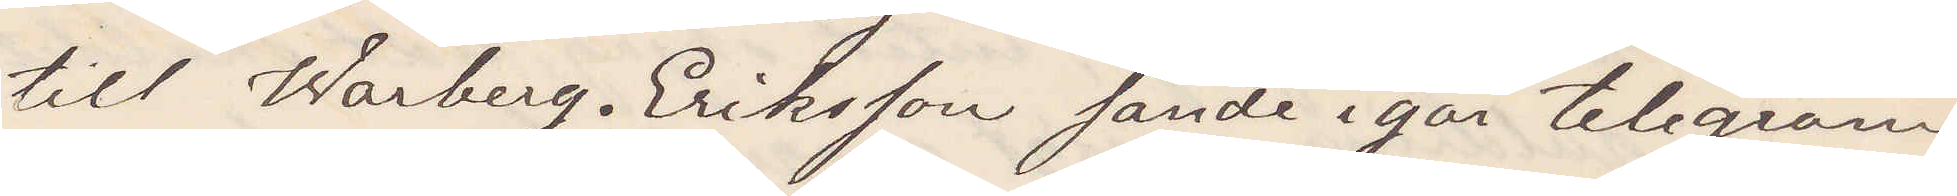till Warberg. Eriksson sände igår telegram
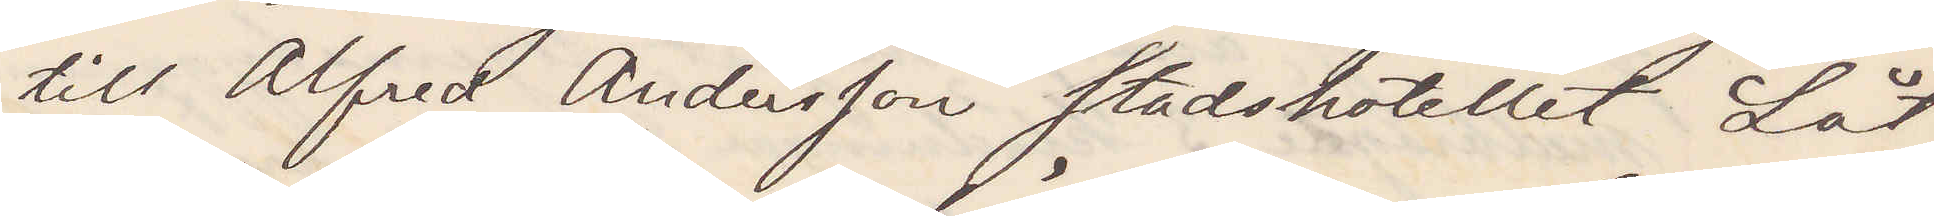till Alfred Andersson stadshotellet Låt
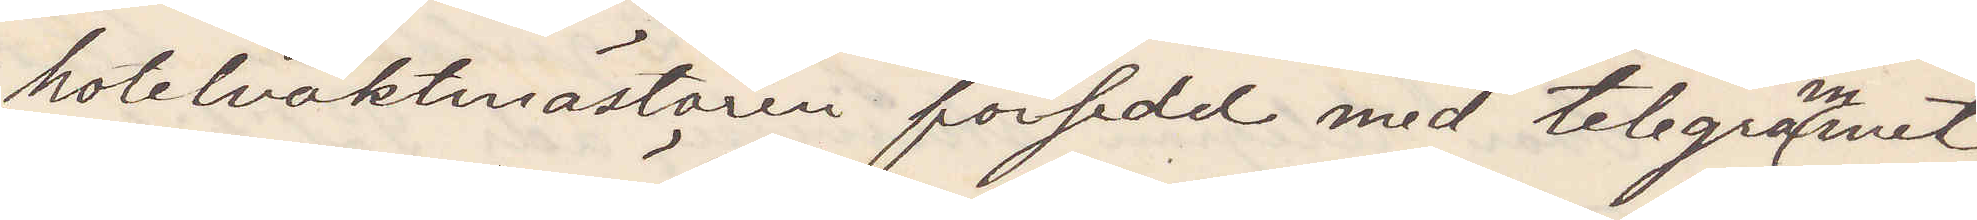hotelvaktmästaren försedd med telegrammet,
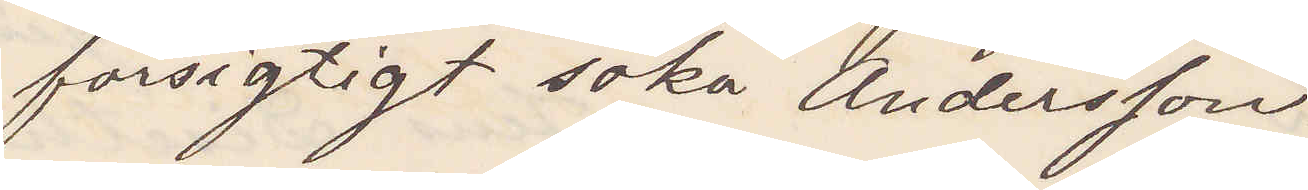försigtigt söka Andersson
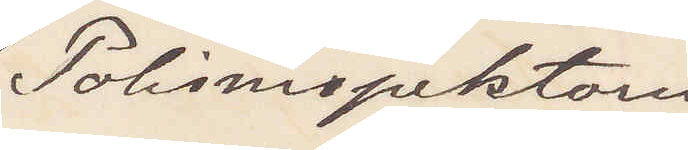Polisinspektorn
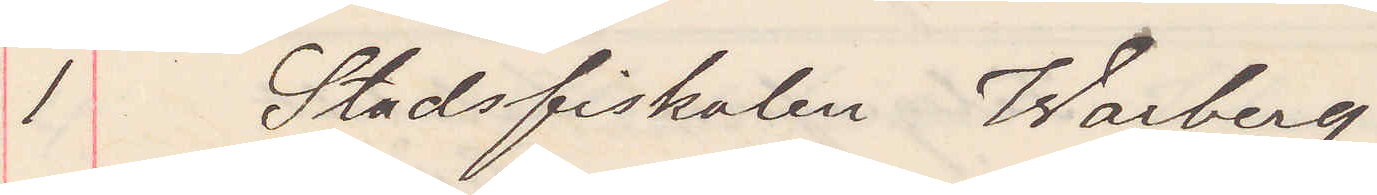1 Stadsfiskalen Warberg.
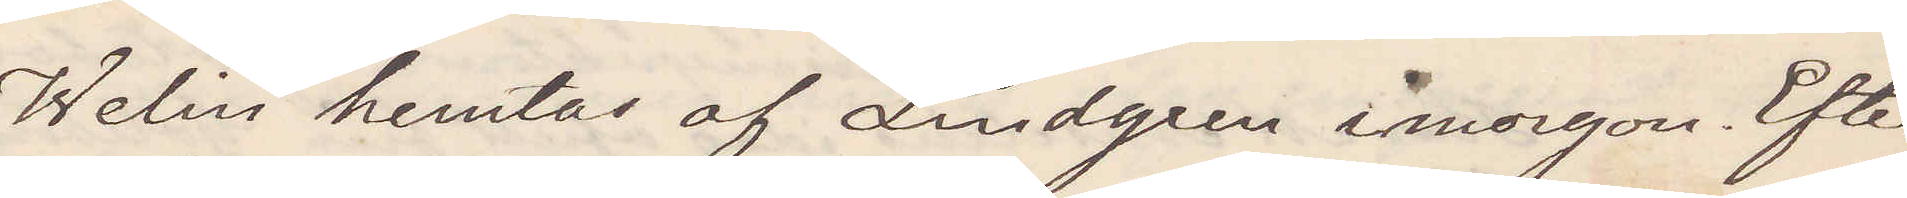Welin hemtas af Lindgren imorgon. Efter¬
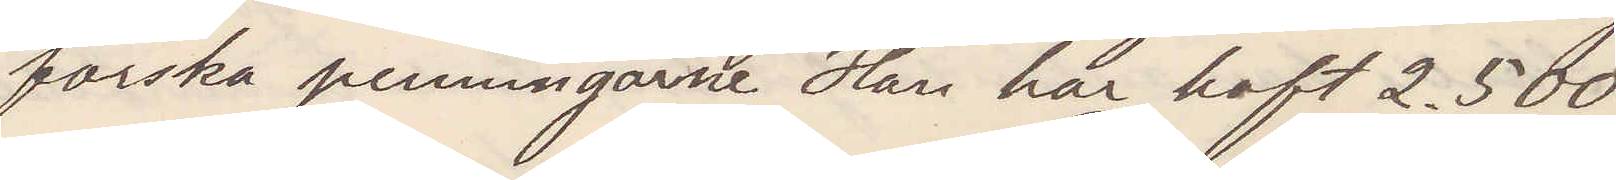forska penningarne Han har haft 2.500.
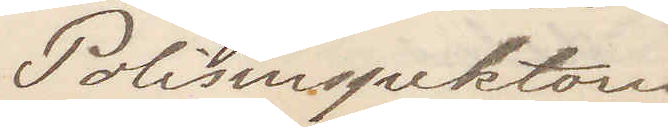Polisinspektorn
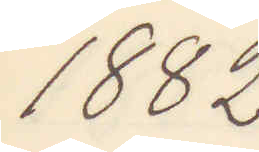1882
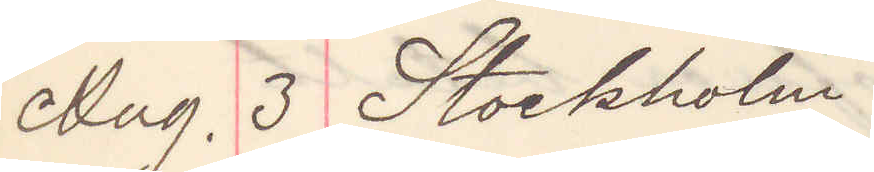Aug. 3 Stockholm
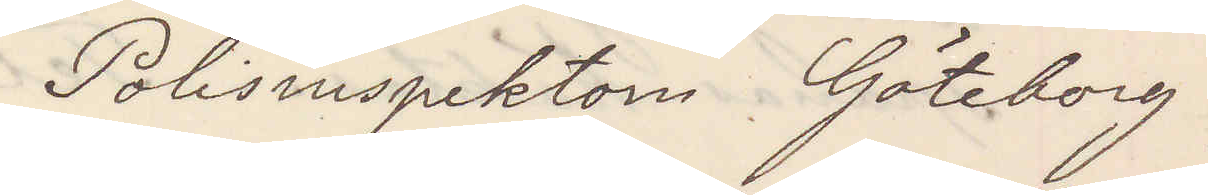Polisinspektorn Göteborg
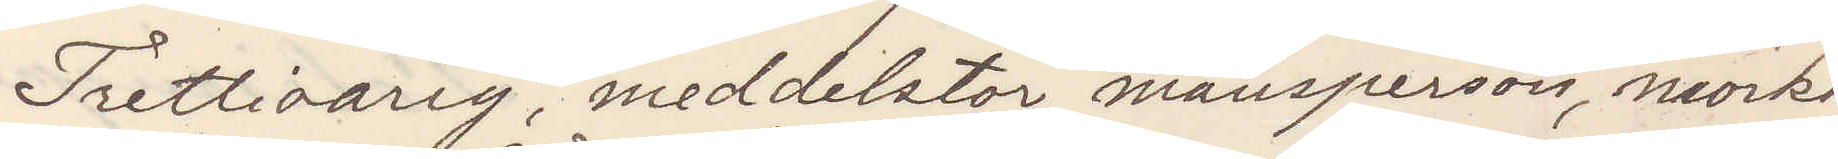Trettioårig, meddelstor mansperson, mörkt
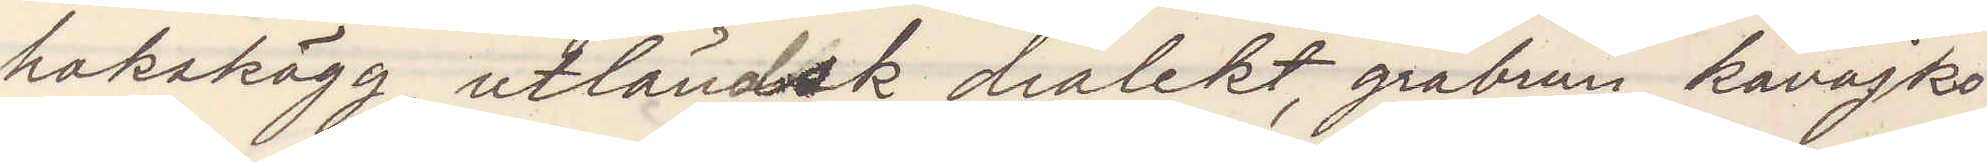hakskägg, utländsk dialekt, gråbrun kavajko¬
